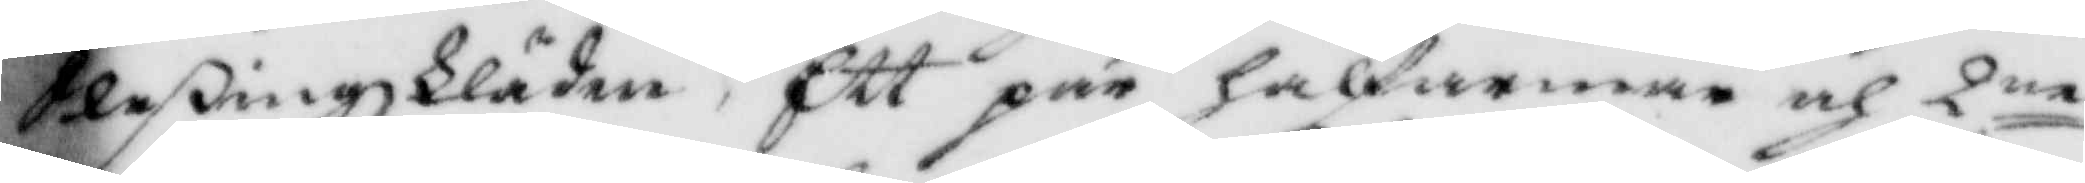Sleßingskläder, Ett par halfarmar och 2ne
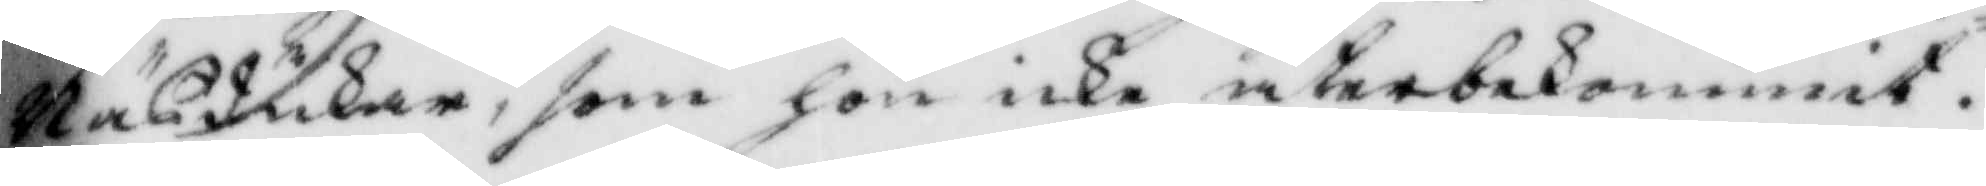Näsdukar, som hon icke återbekommit.
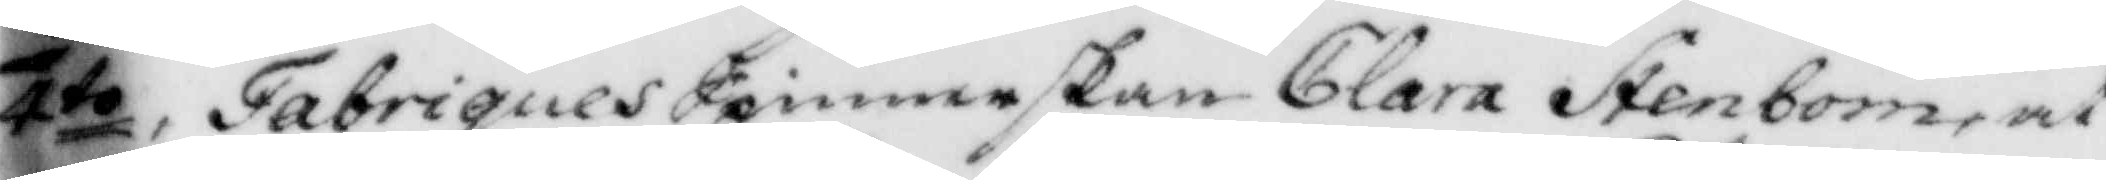4to, FabriquesSpinnerskan Clara Stenbom, at
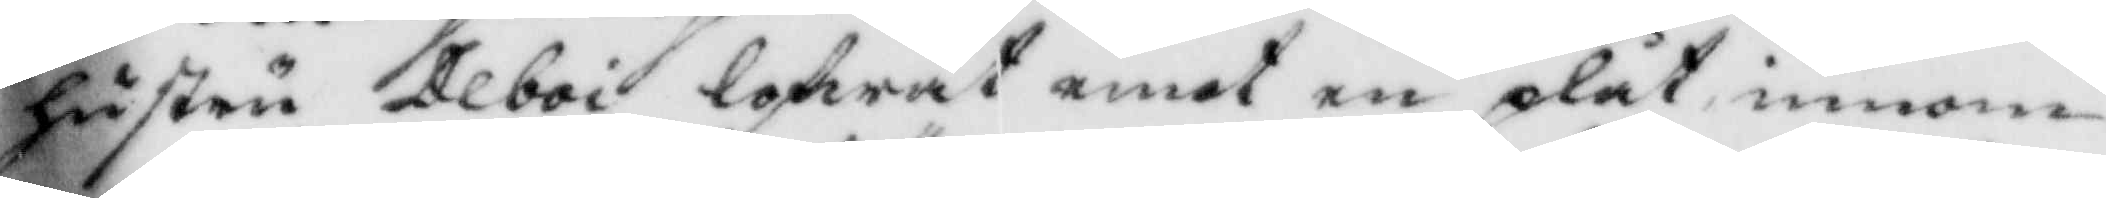hustru Deboi lofwat emot en plåt, inom
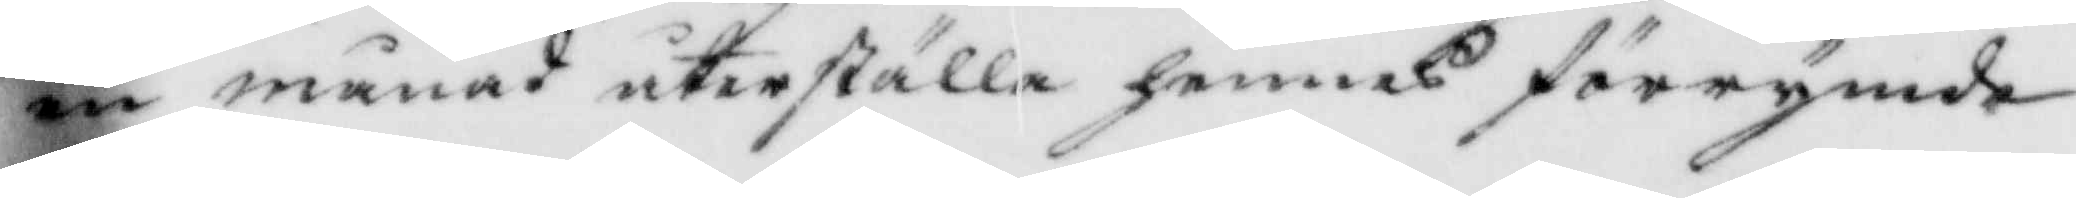en månad återställa hennes förrymde
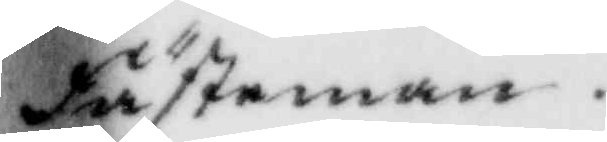Fästman.
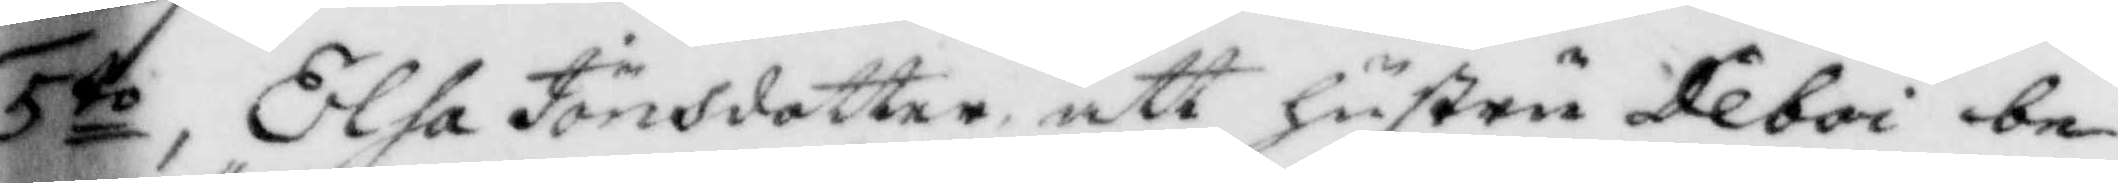5to, Elsa Jönsdotter att hustru Deboi be¬
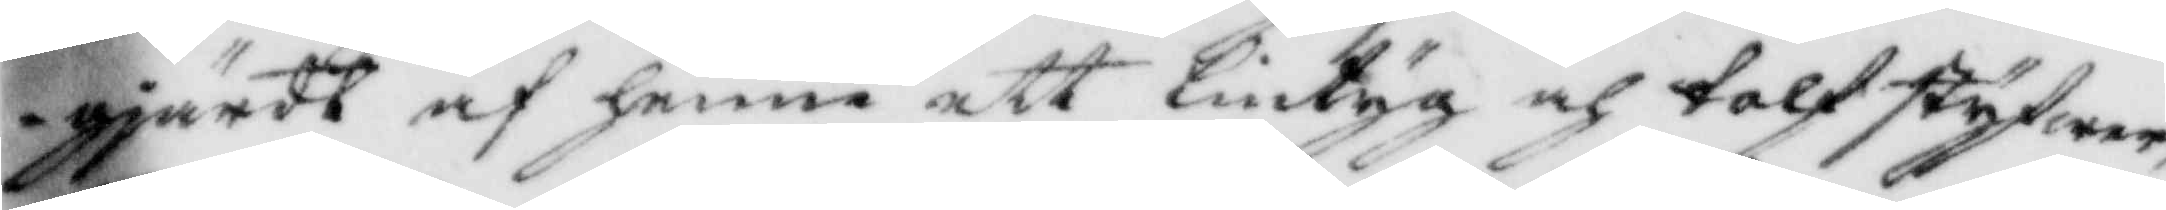gjärdt af henne ett lintyg och tolf styfwer,
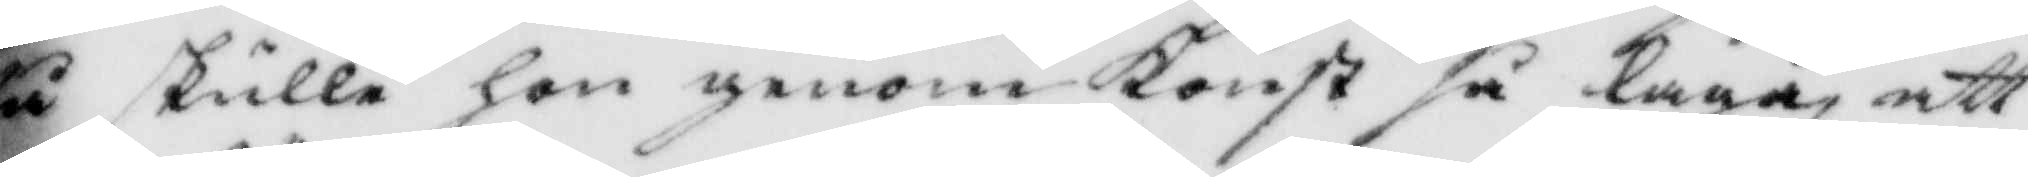så skulle hon genom Konst så laga att
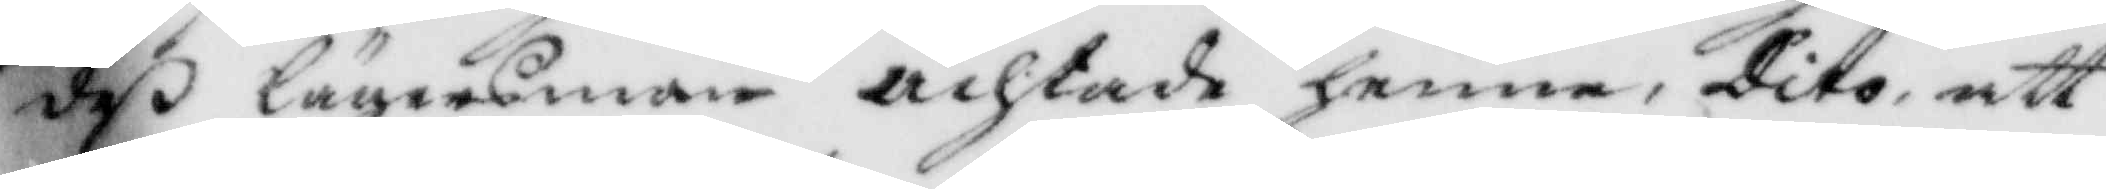deß lägersman achtade henne, Dito, att
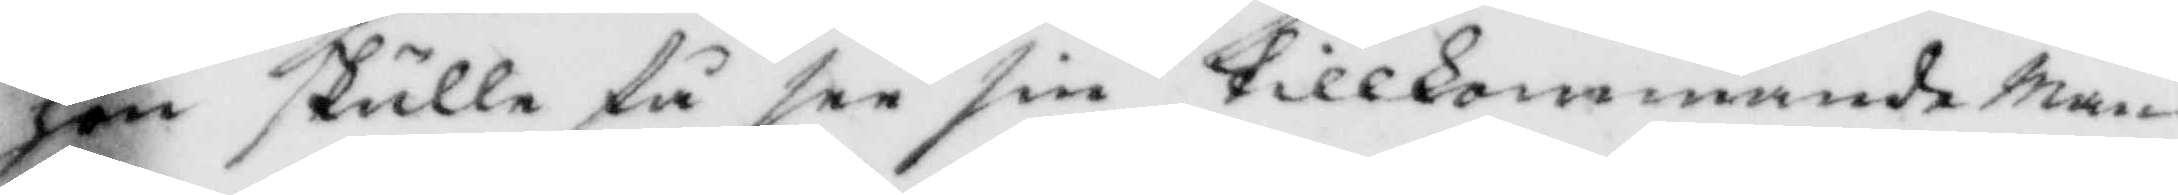hon skulle få see sin tillkommande Man
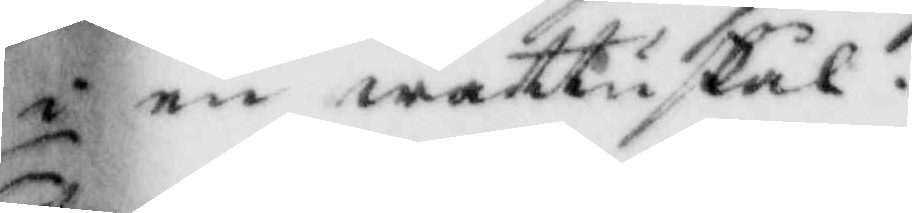i en wattnskål.
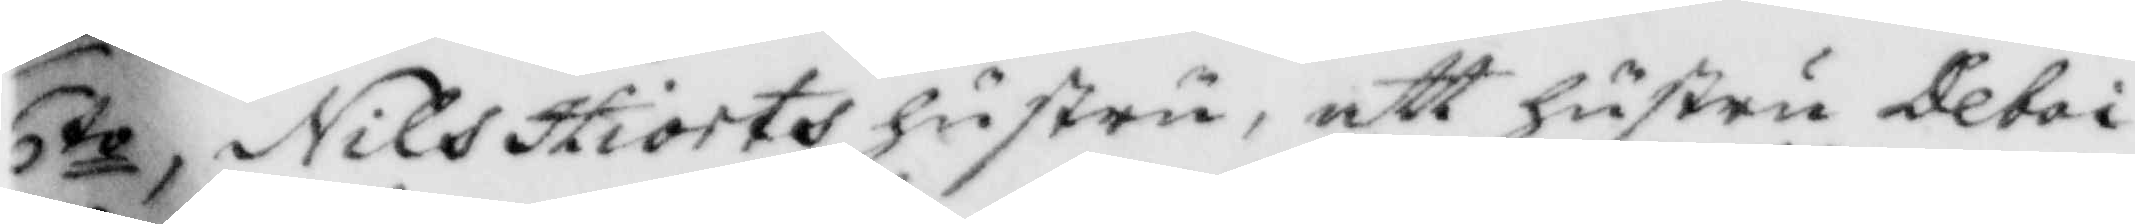6to, Nils Hiorts hustru, att hustru Deboi
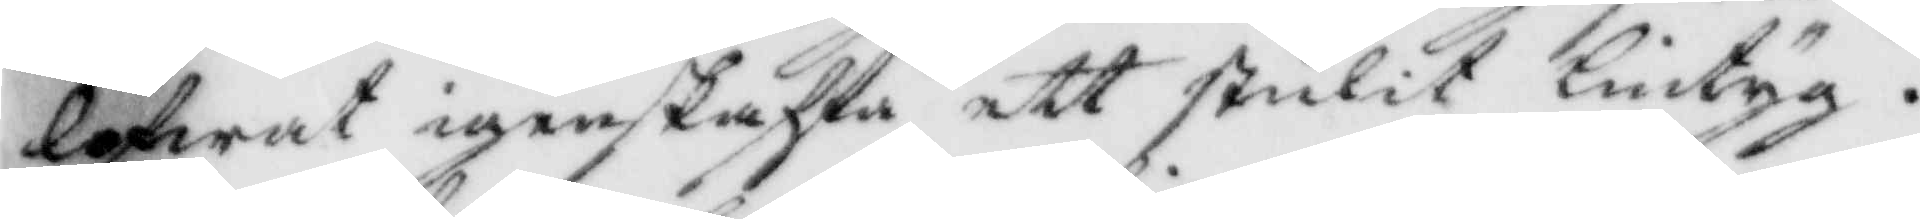lofwat igenskaffa ett stulit lintyg.
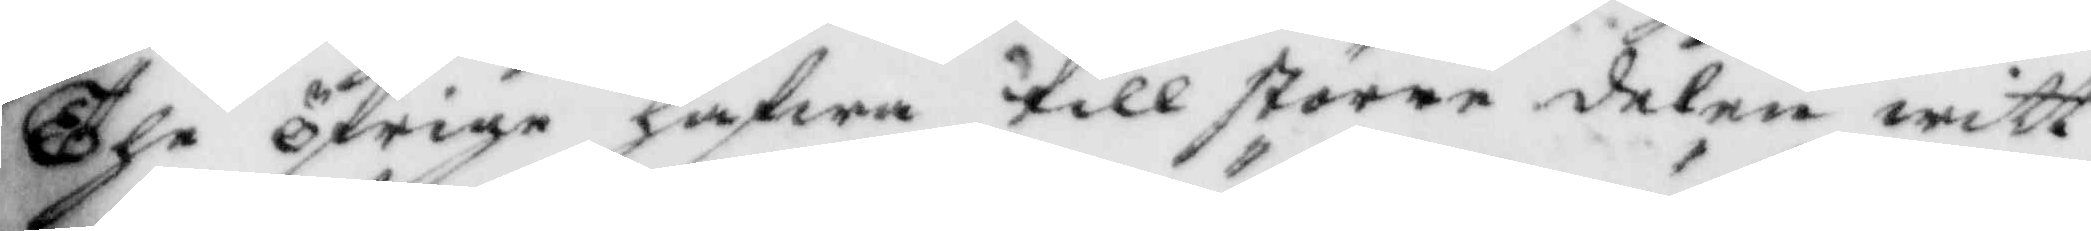The öfrige hafwa till större delen witt¬
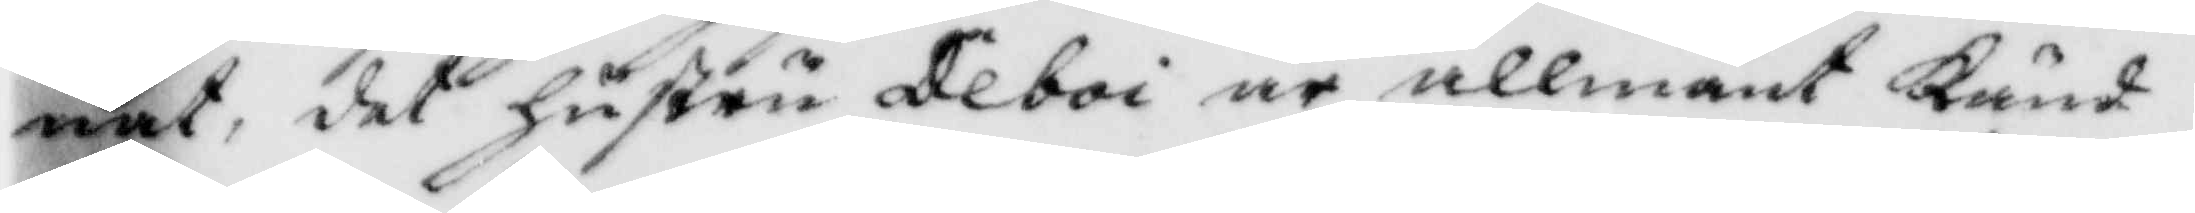nat, det hustru Deboi är allmänt Känd
